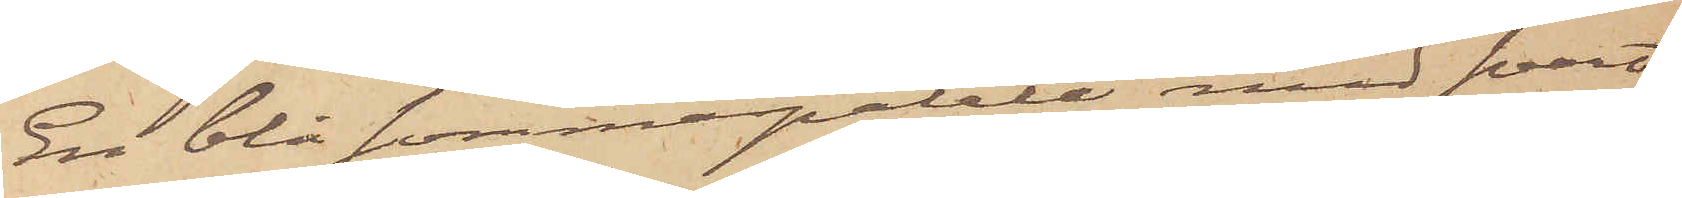En blå sommarpaletå med svart
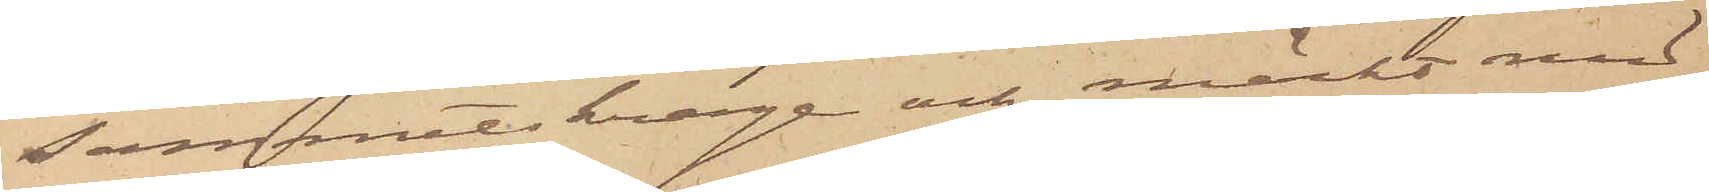sammetskrage och märkt med
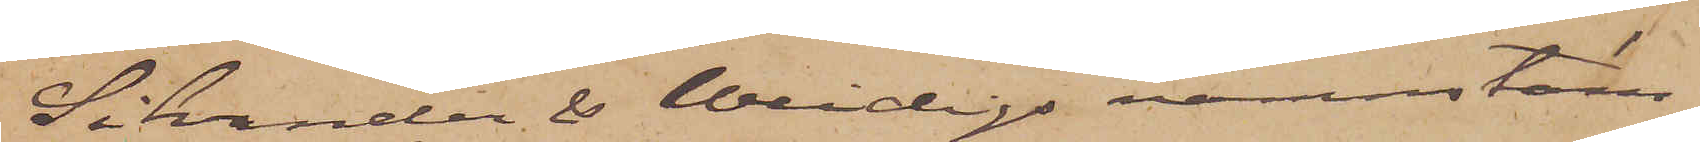Silvander & Weidigs namnstäm¬
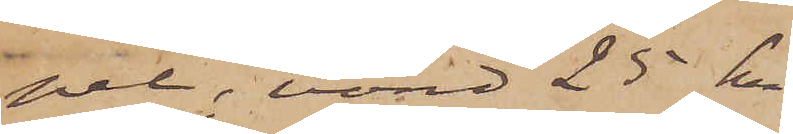pel, värd 25 kr
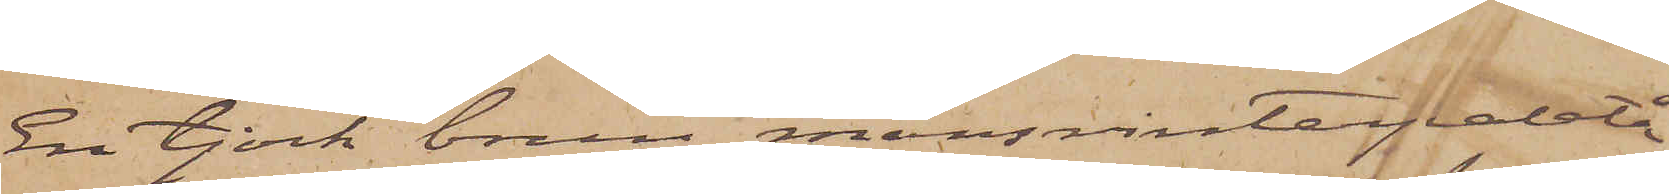En tjock brun mansvinterpaletå
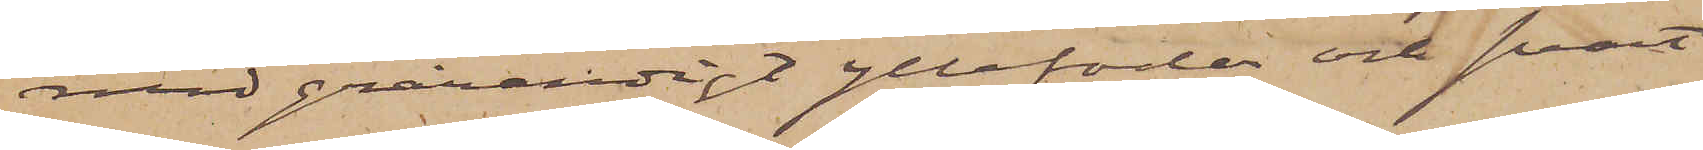med grårandigt yllefoder och svart
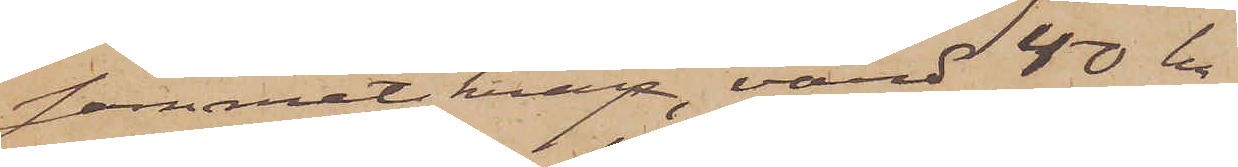sammetskrage, värd 40 kr
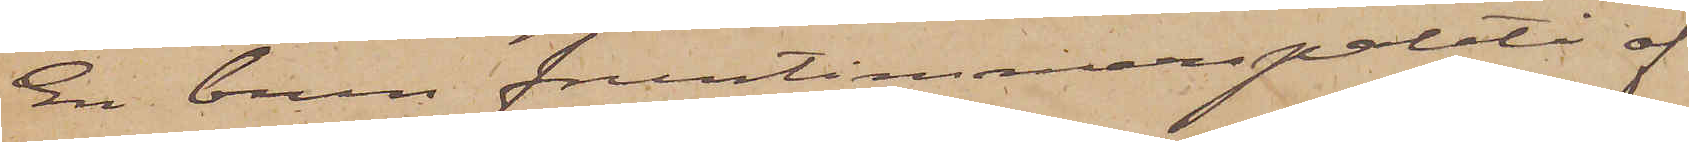En brun fruntimmerspaletå af
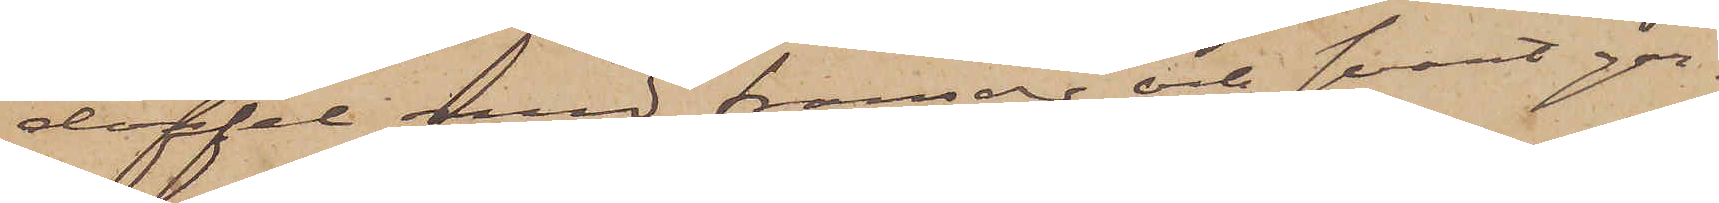doffel med fransar och svart gar¬
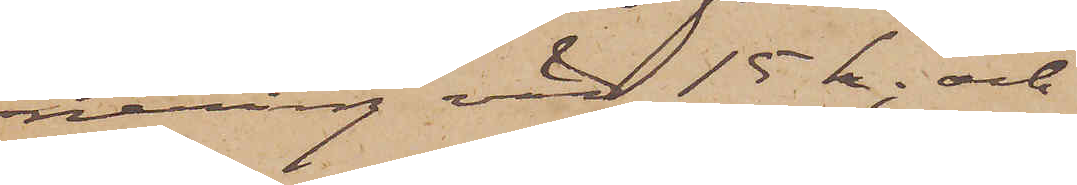nering värd 15 kr; och
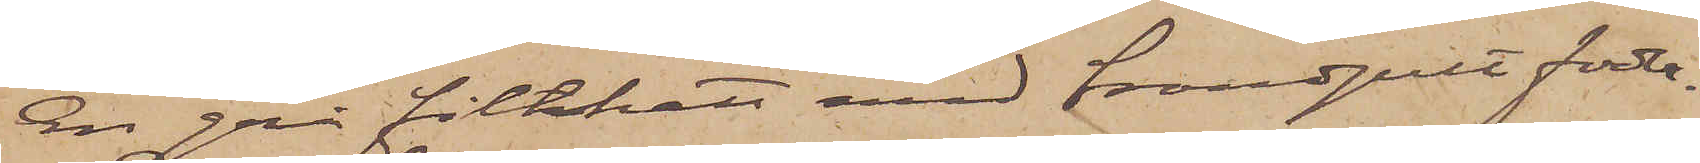En grå filthatt med brandgult foder
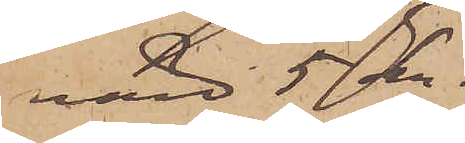värd 5 kr.
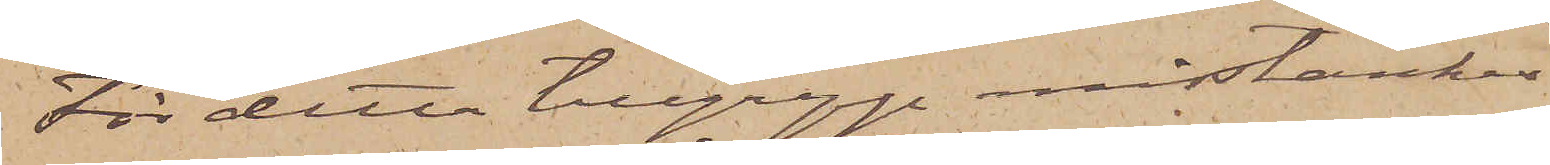För detta tillgrepp misstänkes
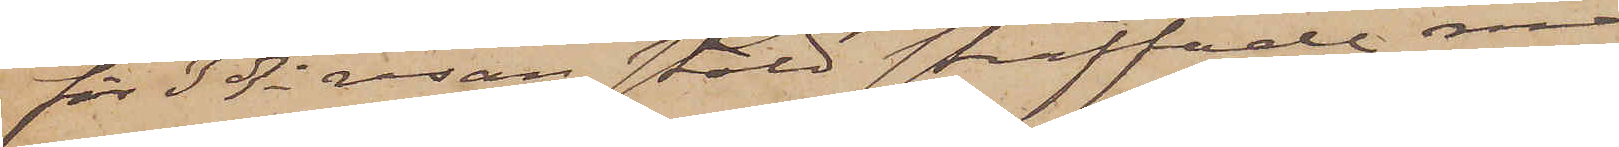för 3dje resan stöld straffade mans¬
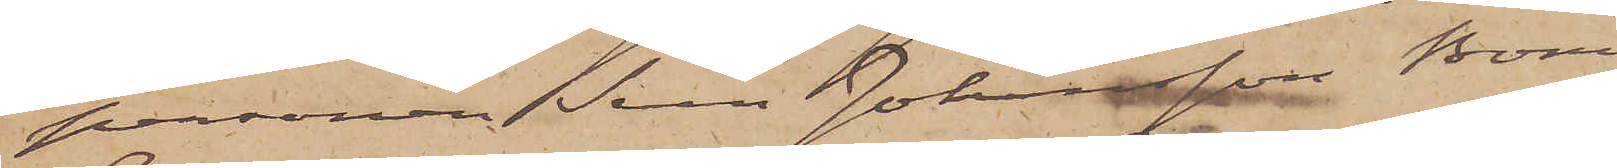personen Sven Johansson Boman
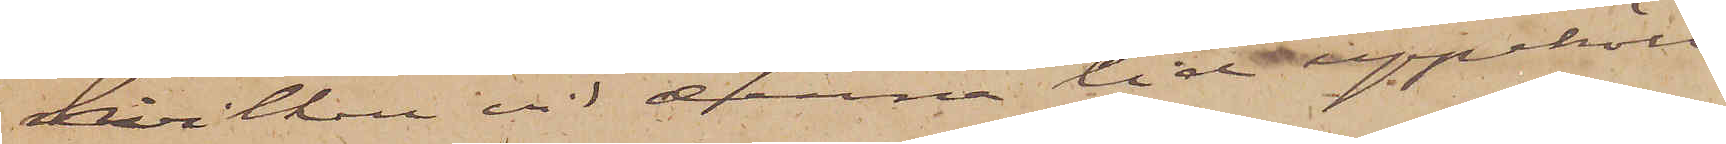hvilken vid denna tid uppehöll
